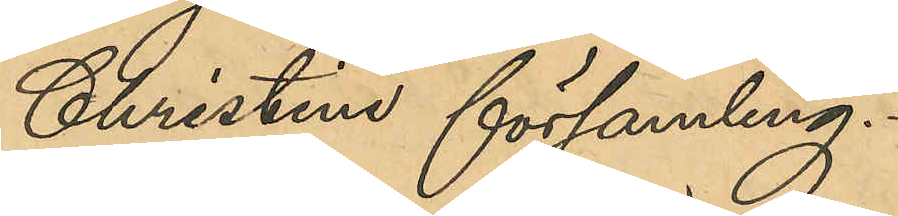Christine församling
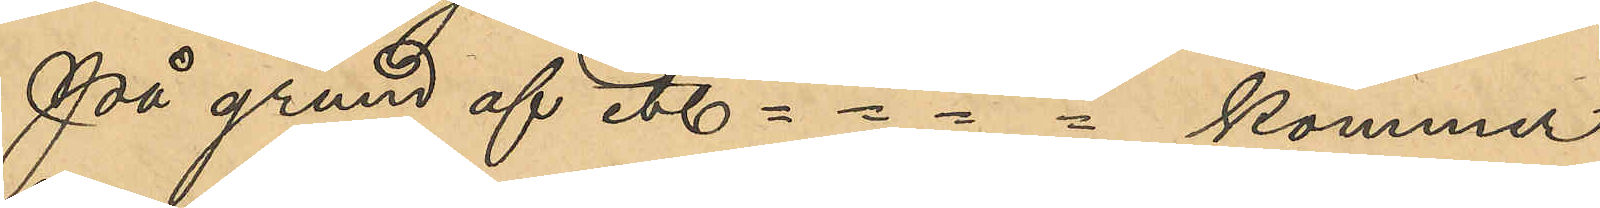På grund af etc -  -  -  -  kommer
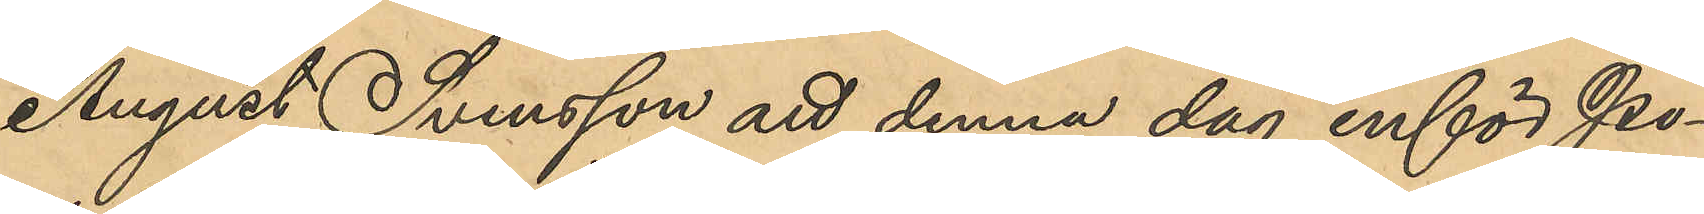August Svensson att denna dag inför Po¬
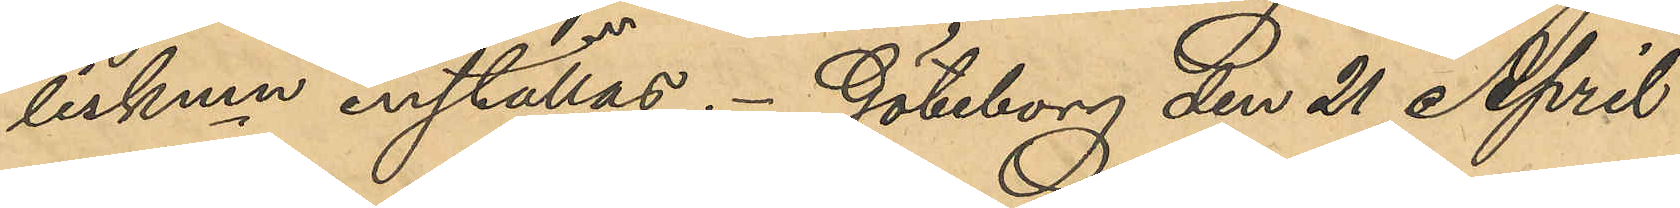liskmn inställas. Göteborg den 21 April
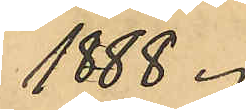1888.
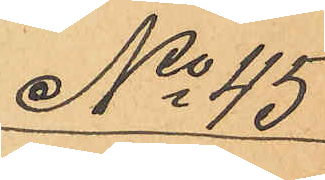No 45
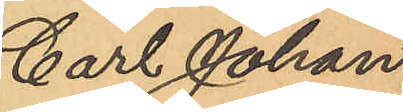Carl Johan
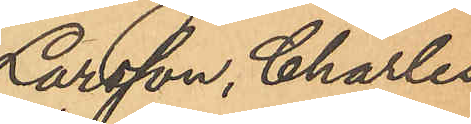Larsson, Charles
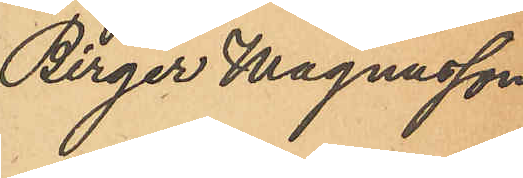Birger Magnusson.
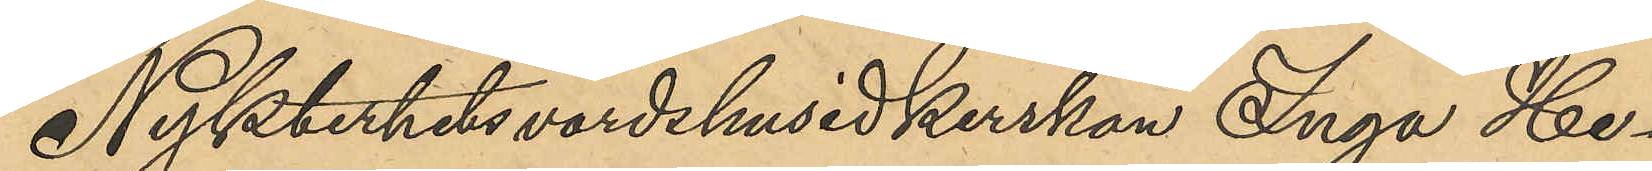Nykterhetsvärdshusidkerskan Inga He¬
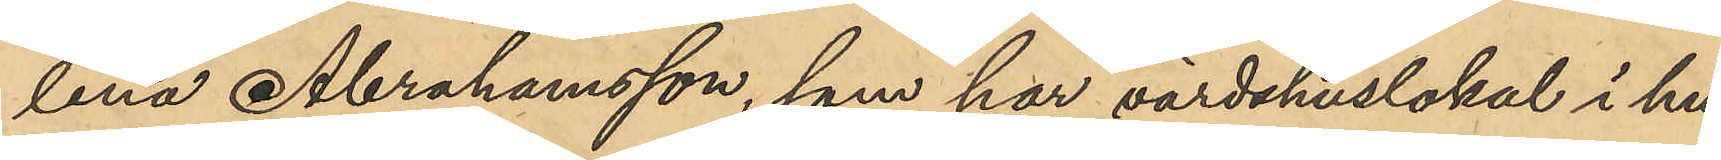lena Abrahamsson, som har värdshuslokal i hu¬
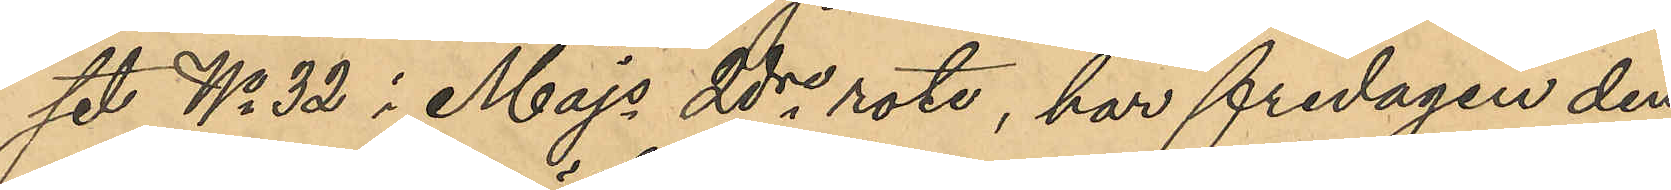set No 32 i Majs 2dre rote, har fredagen den
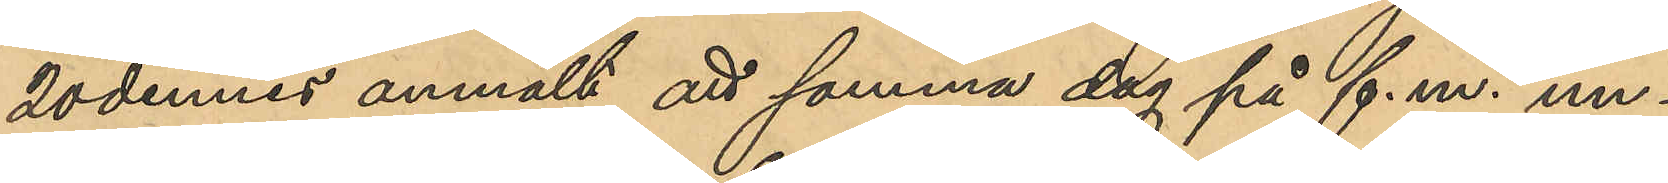20 dennes anmält att samma dag på f.m. un¬
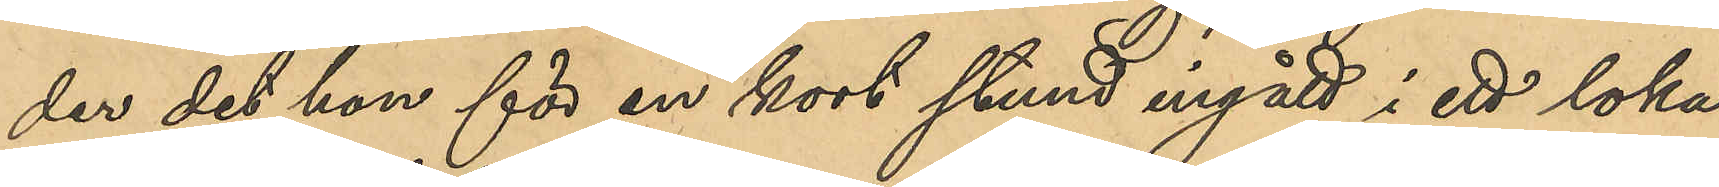der det hon för en kort stund ingått i ett loka¬
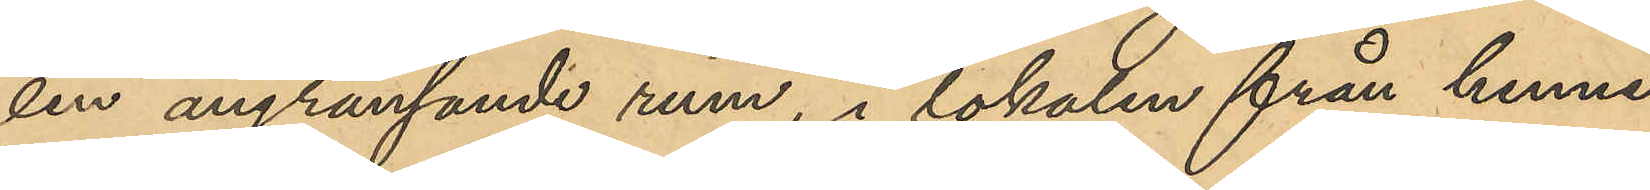len angränsande rum, i lokalen från henne
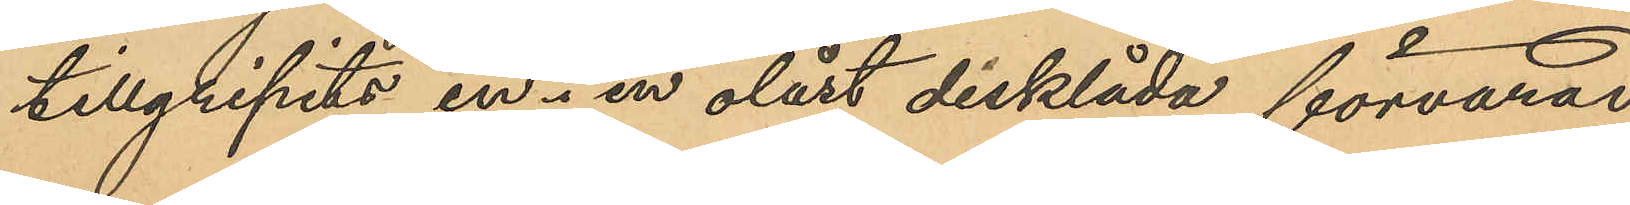tillgripits en i en olåst disklåda förvarad
